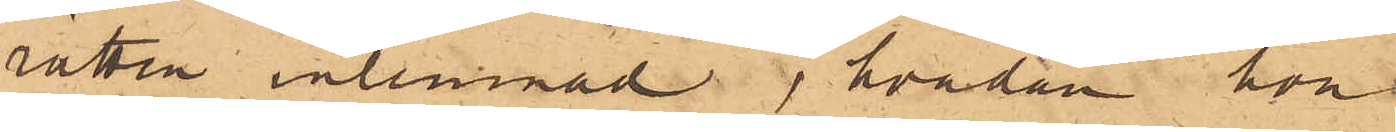rätten inlemnad, hvadan hon
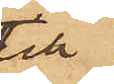till
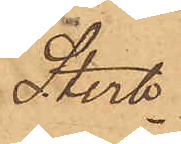Sterb¬
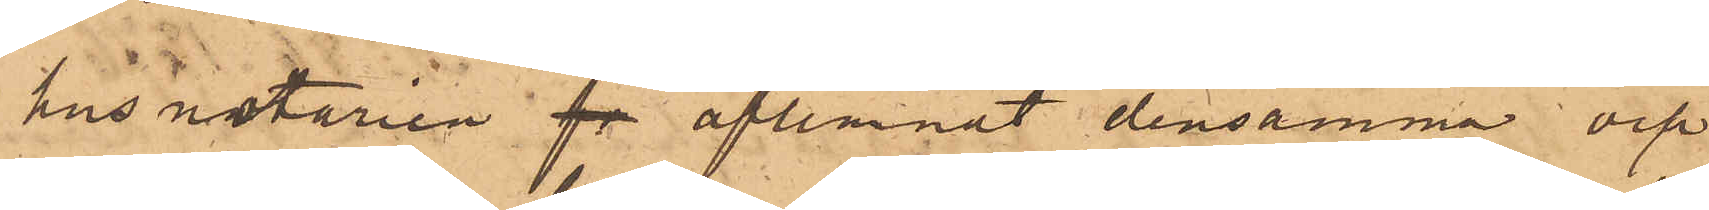husnotarien fe aflemnat densamma och
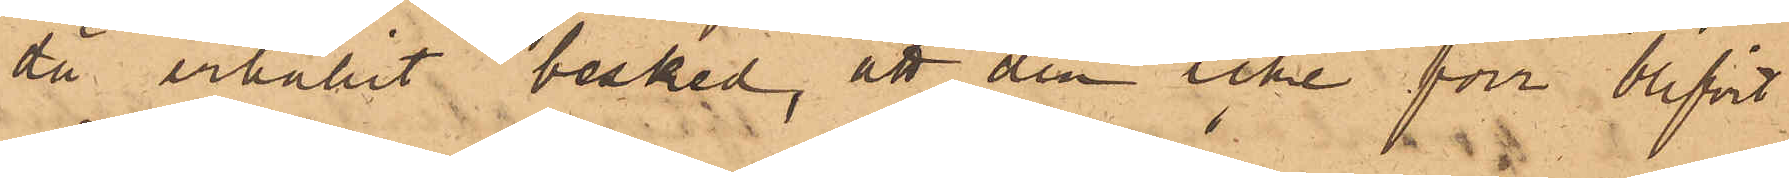då erhållit besked, att den icke förr blifvit
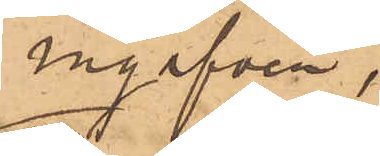ingifven,
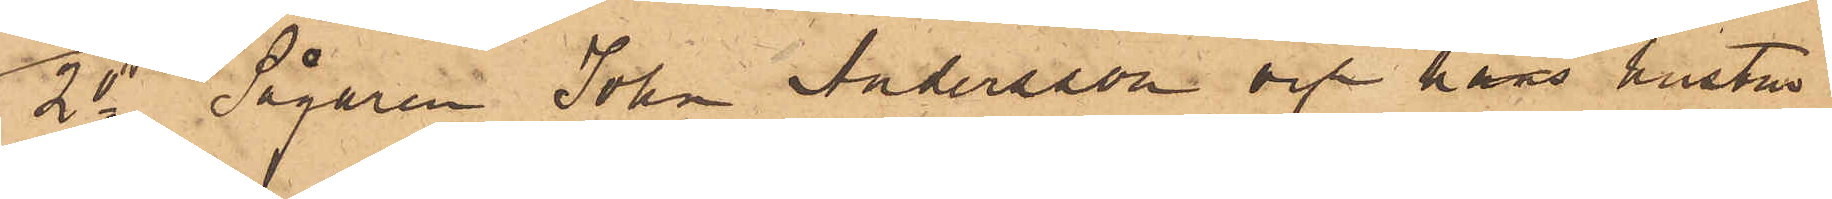2o Sågaren John Andersson och hans hustru
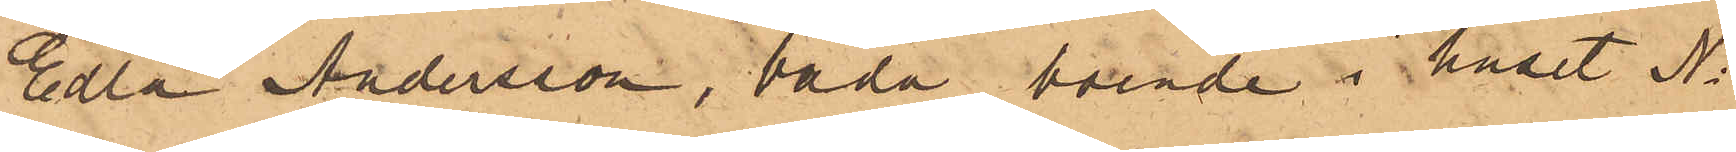Edla Andersson, båda boende i huset No
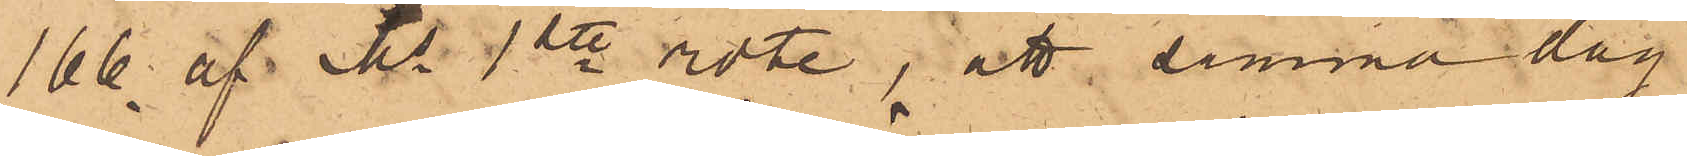166 af Ms 1ste rote, att samma dag
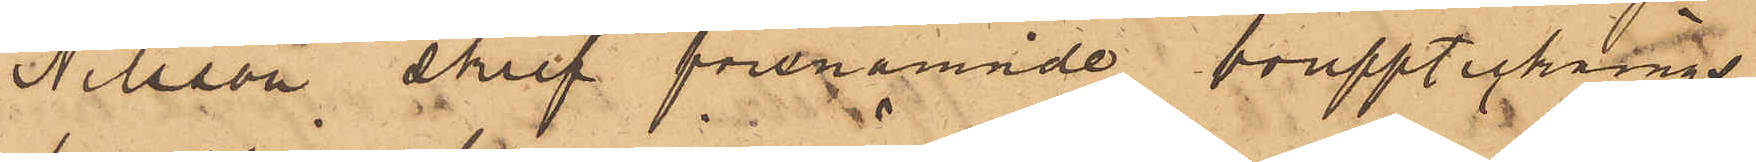Nilsson skref förenämnde boupptecknings¬
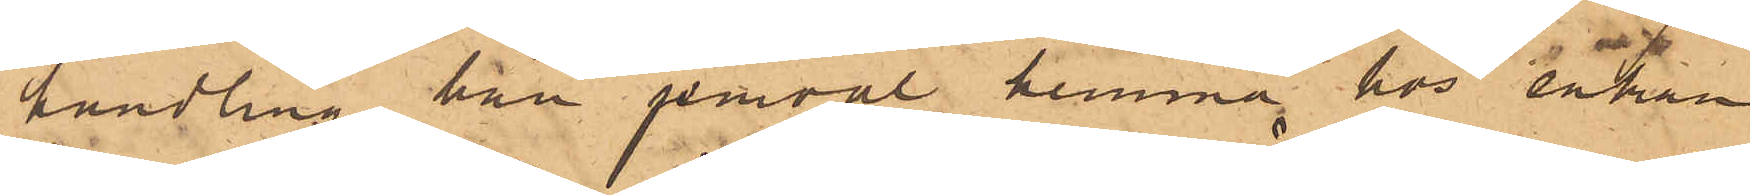handling han jemväl hemma hos enkan
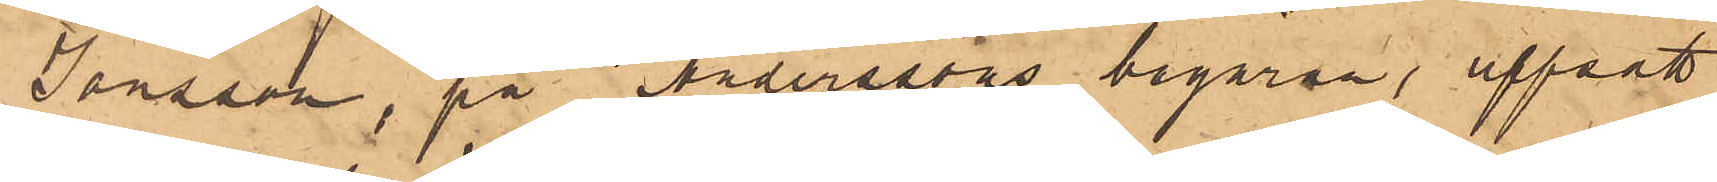Jonsson, på Anderssons begäran, uppsatt
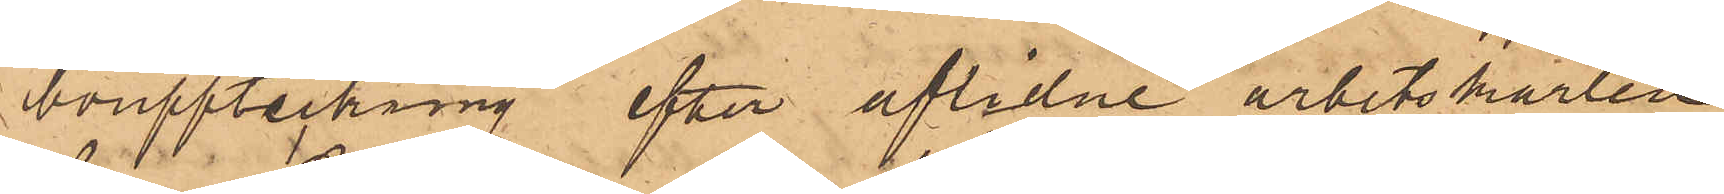bouppteckning, efter aflidne arbetskarlen
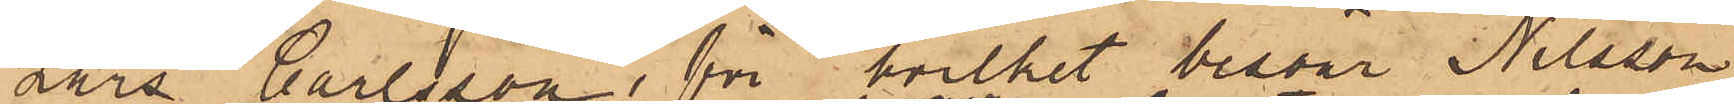Lars Carlsson, för hvilket besvär Nilsson
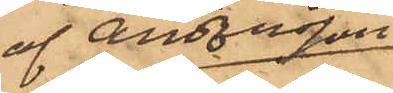af Andersson
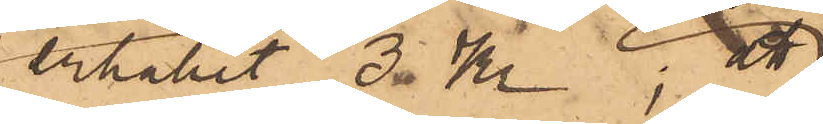betalat 3 Kr; att
